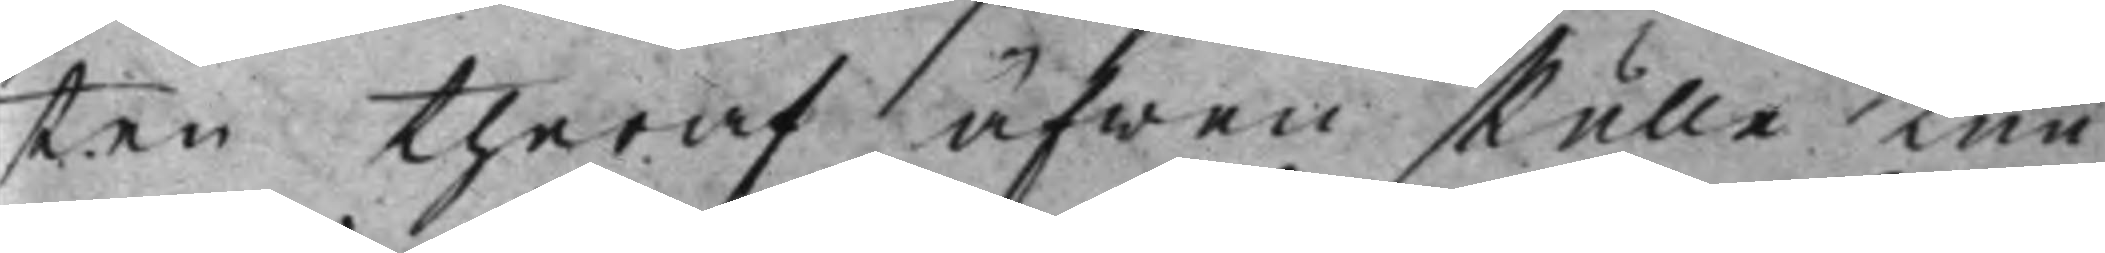ten theraf äfwen skulle Kun¬
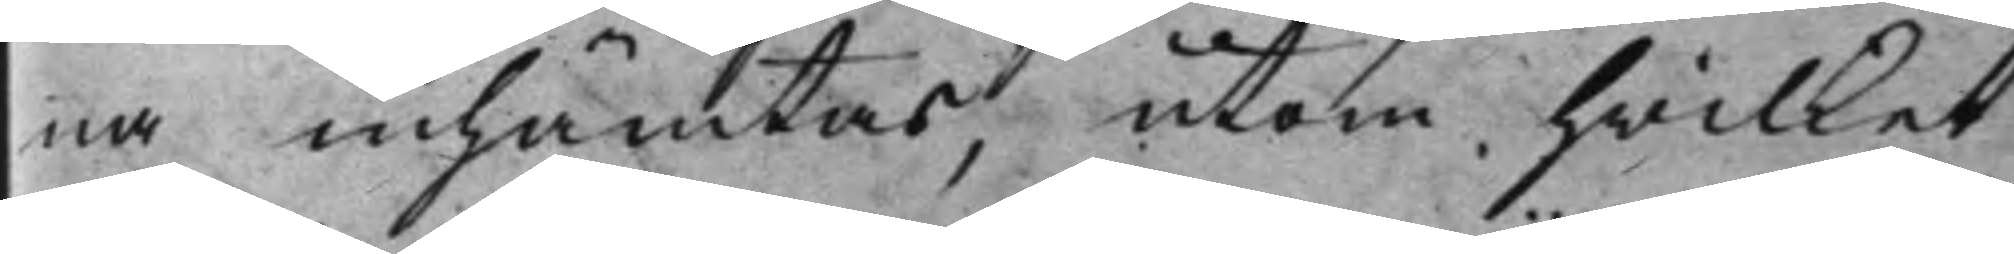na inhämtas, utom hwilket
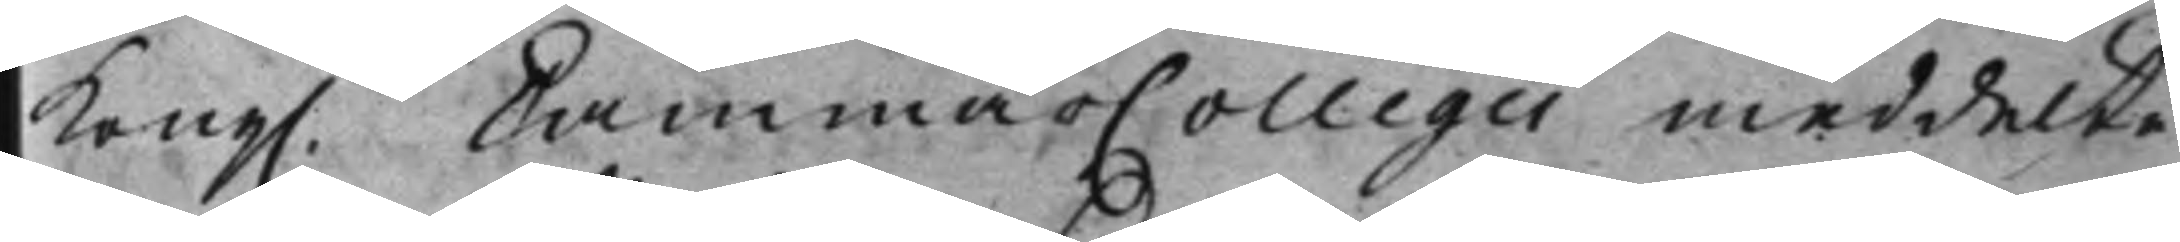Kong. CammarCollegii meddelte 
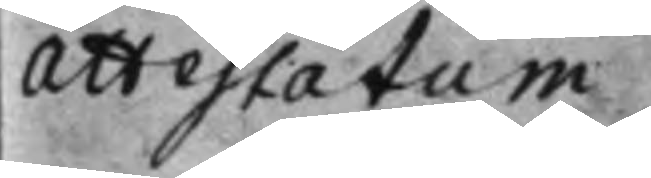Attestatum
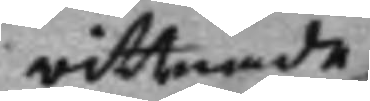wittnade
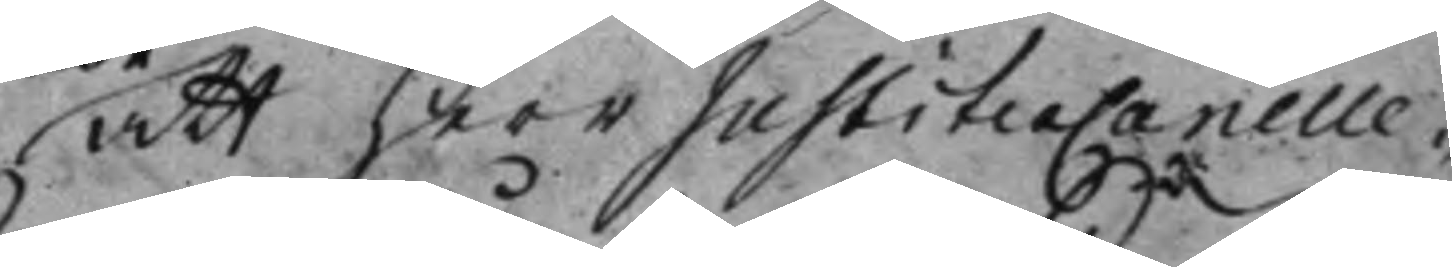att Herr JustiteæCanelle¬
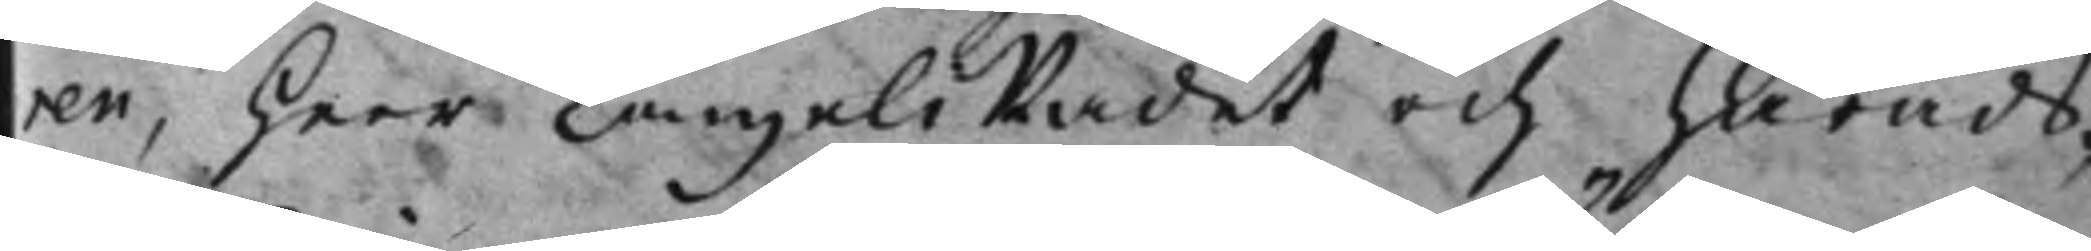ren, Herr CanzeliRådet och Härads¬
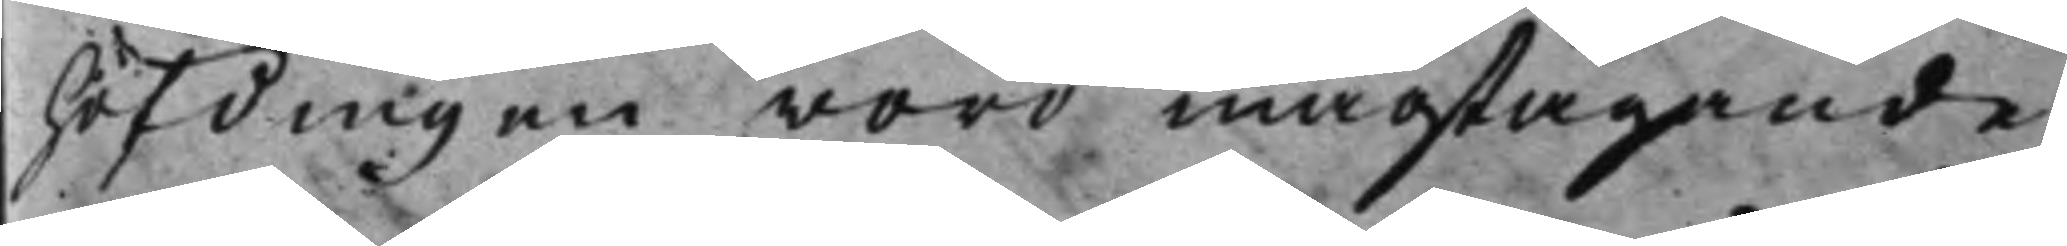höfdingen woro magtägande,
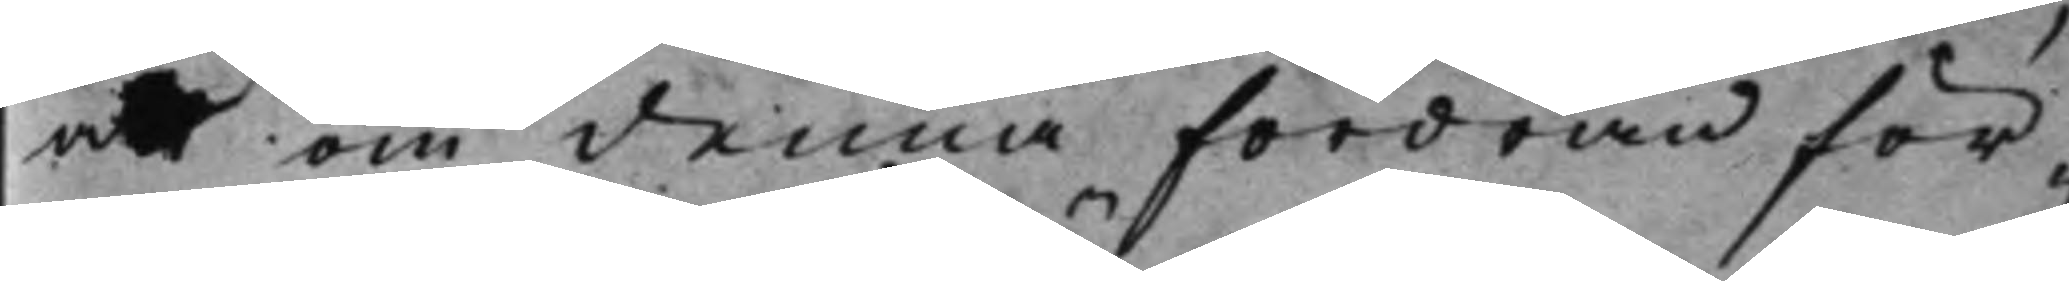att om denna Fordran för¬
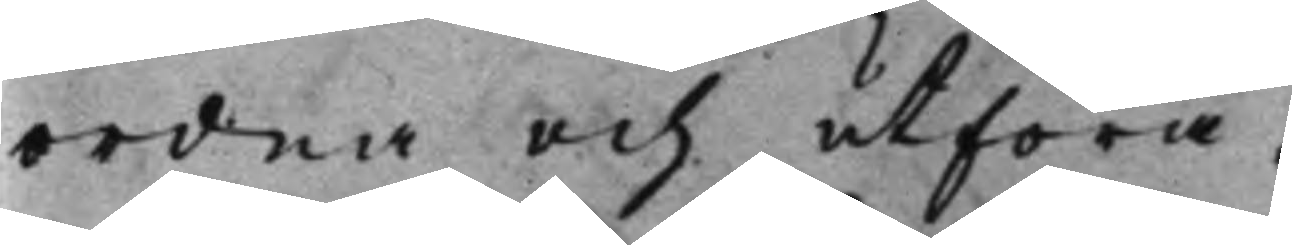ordna och utföra.
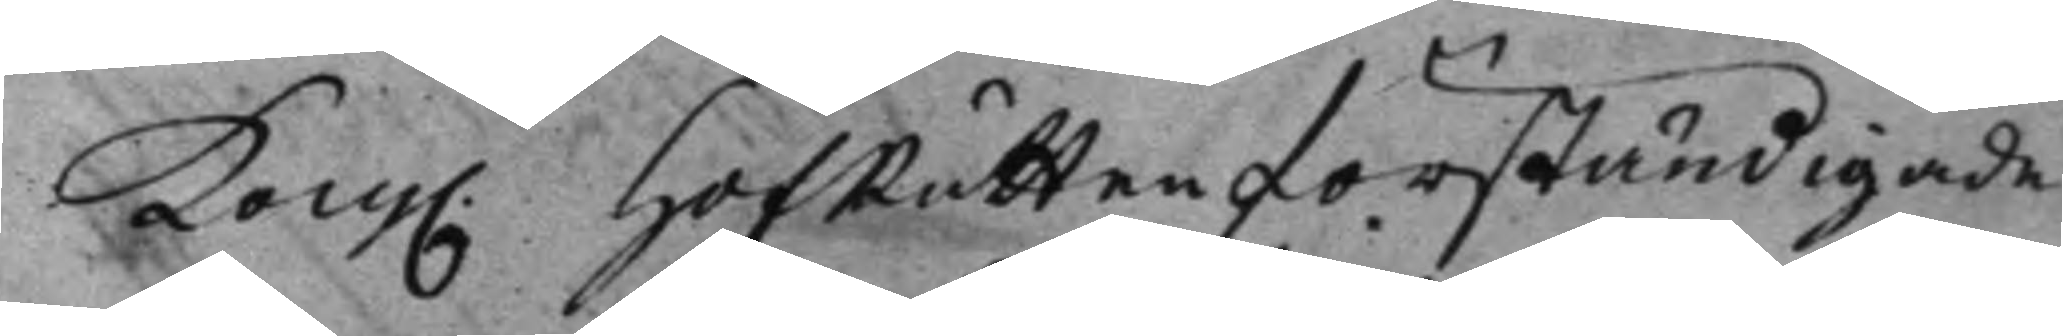Kong. HofRätten förständigade 
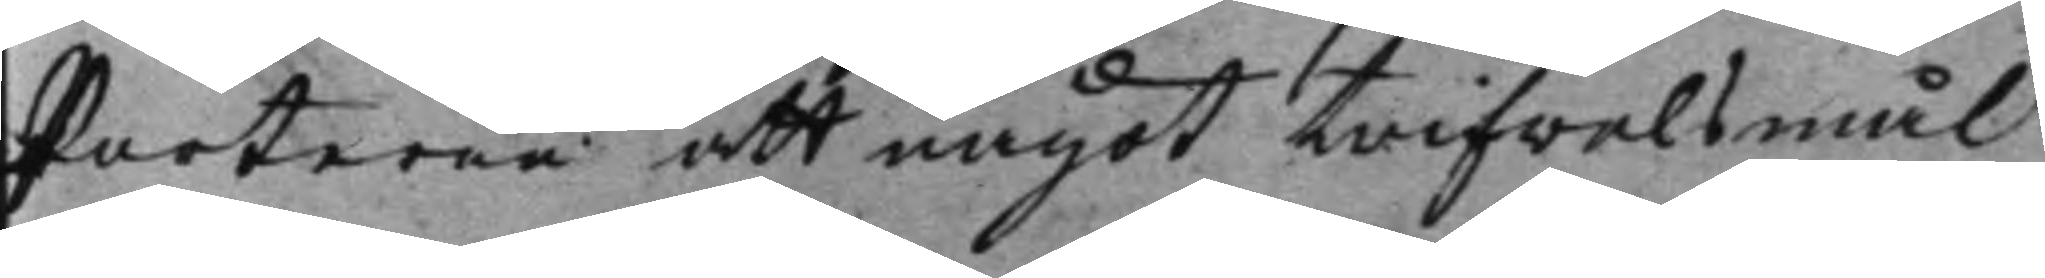Parterne att något trifwelsmål
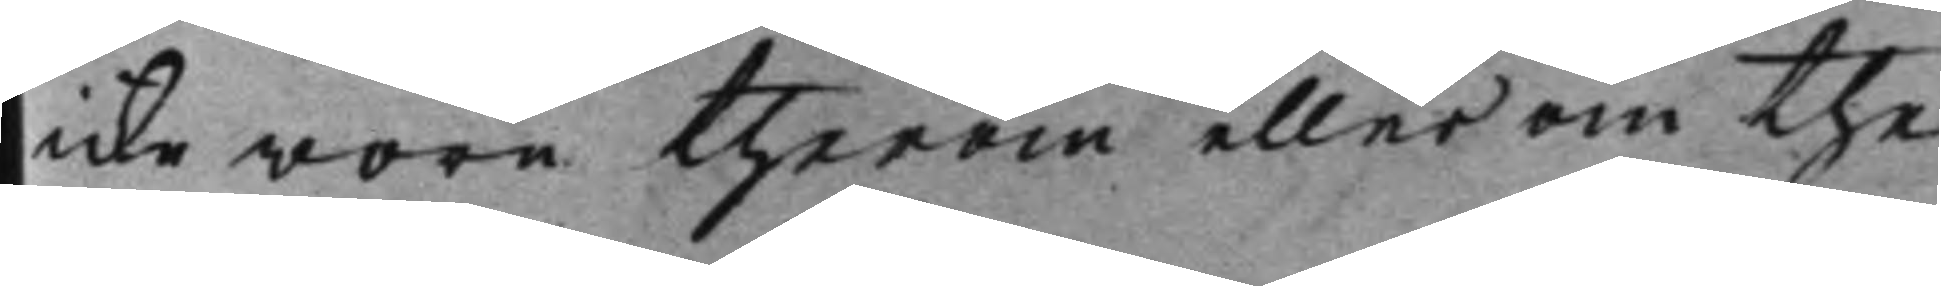icke wore therom eller om the
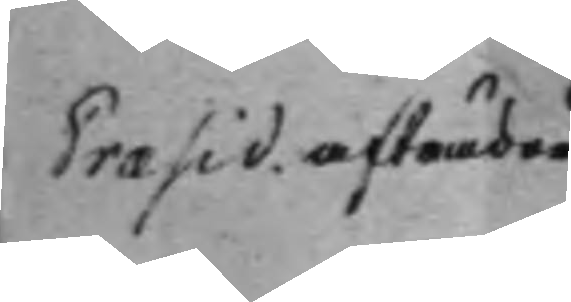Præsid. afträder 
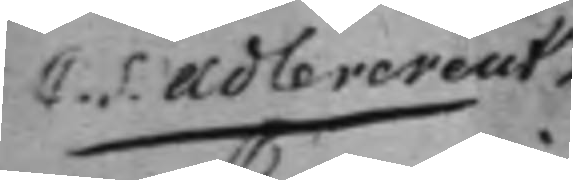C. S. Adlercreutz 
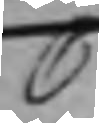C
